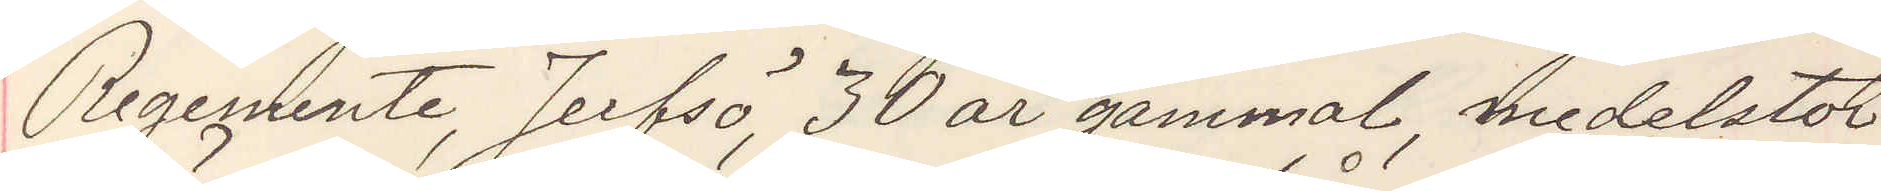Regemente, Jerfsö, 30 år gammal, medelstor
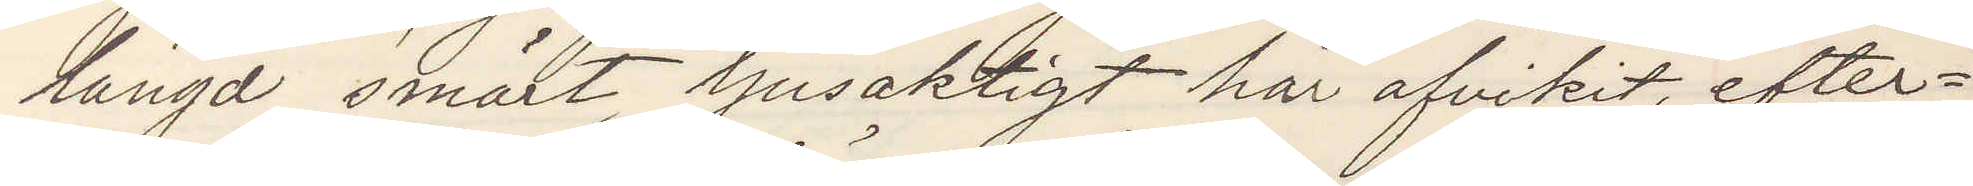längd, smärt, ljusaktigt hår afvikit, efter¬
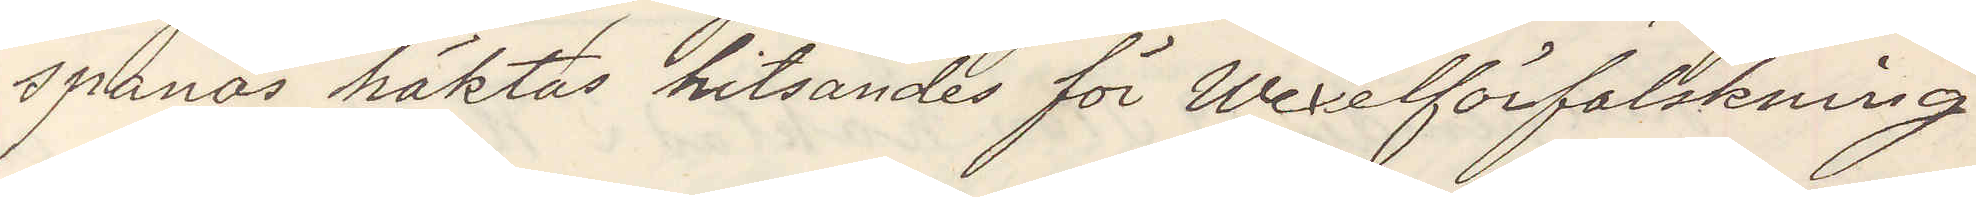spanas häktas hitsändes för Wexelförfalskning
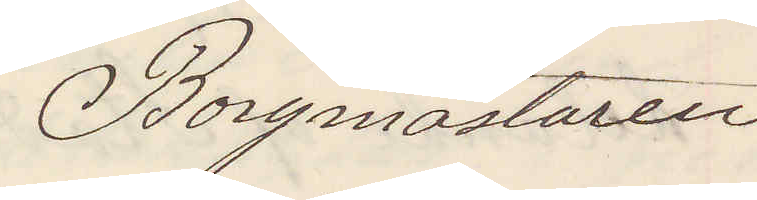Borgmästaren
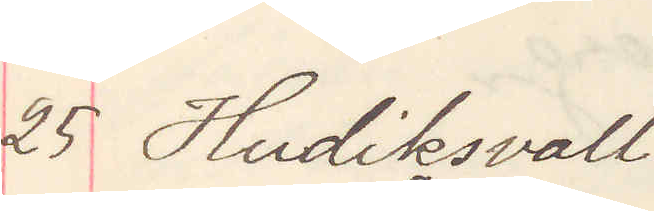25 Hudiksvall
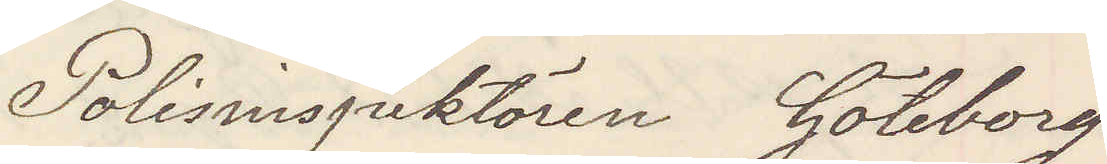Polisinspektören Göteborg
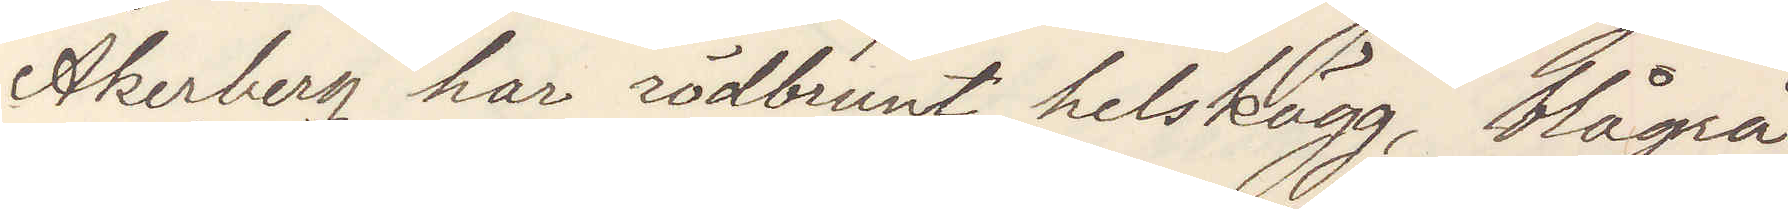Åkerberg har rödbrunt helskägg, blågrå
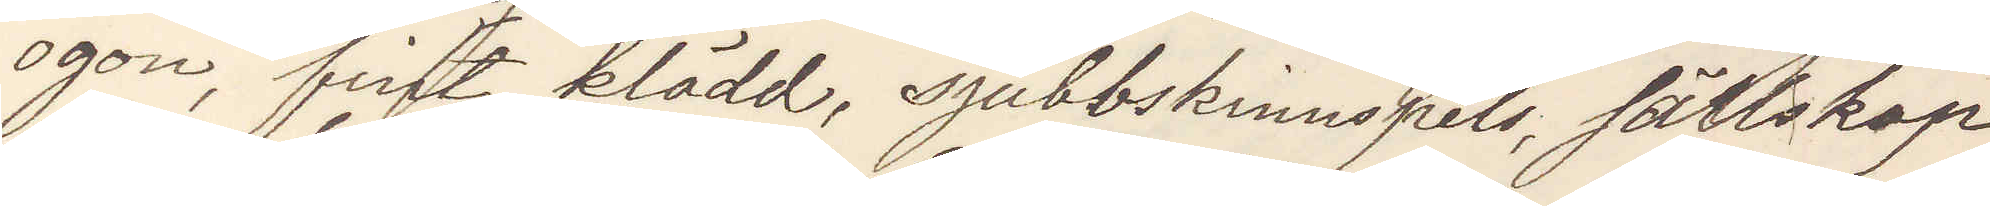ögon, fint klädd, sjubbskinnspels, sällskap
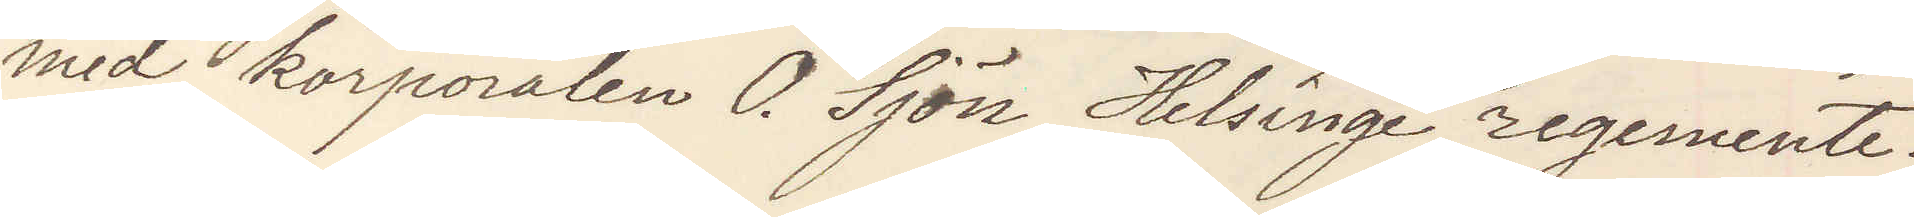med korporalen O. Sjön Helsinge regemente.
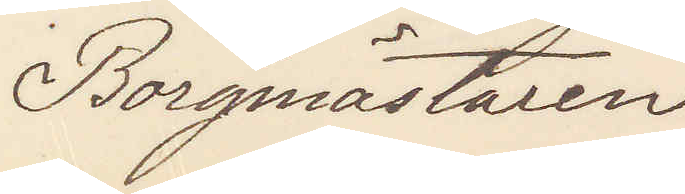Borgmästaren
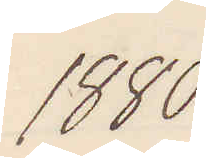1880
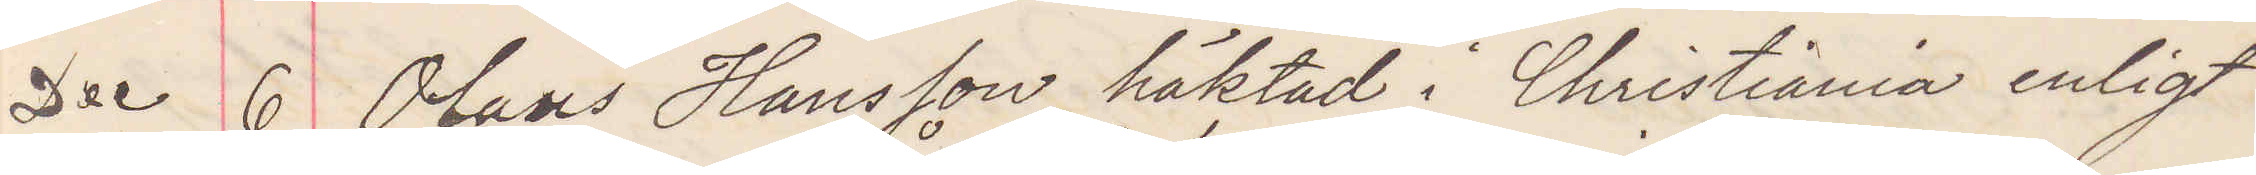Dec 6 Olaus Hansen häktad i Christiania enligt
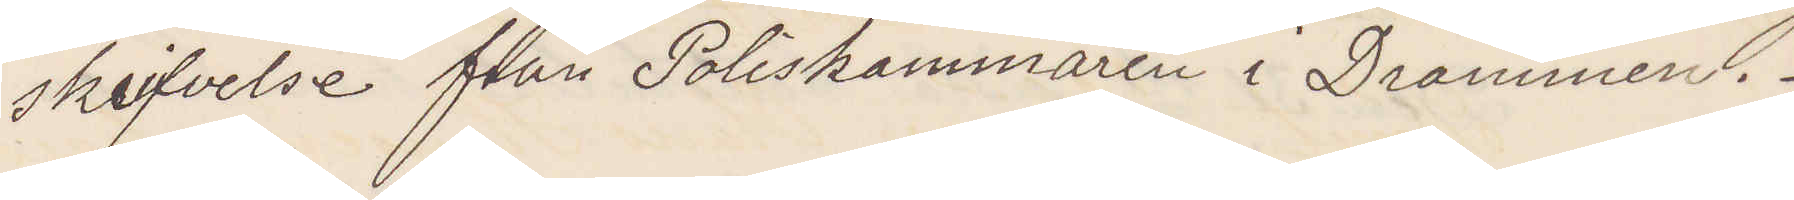skrifvelse från Poliskammaren i Drammen.
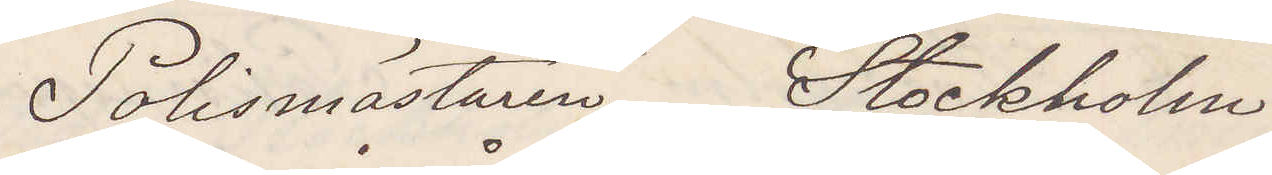Polismästaren Stockholm
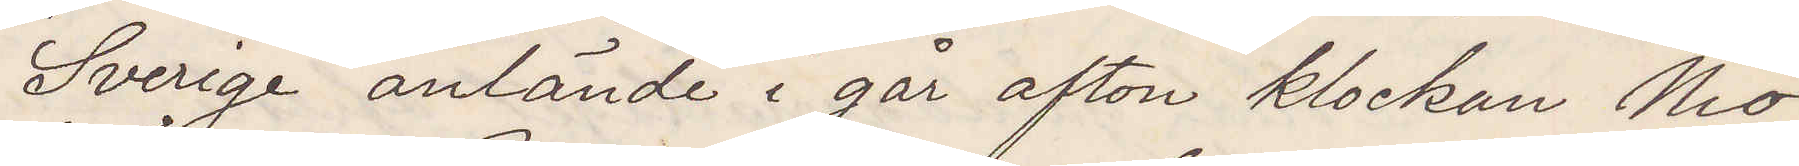"Sverige" anlände i går afton klockan Nio,
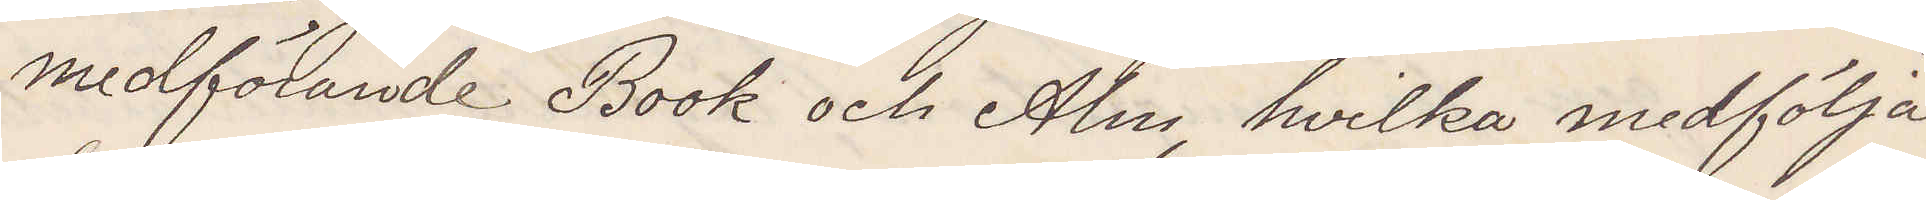medförande Book och Alm, hvilka medfölja
